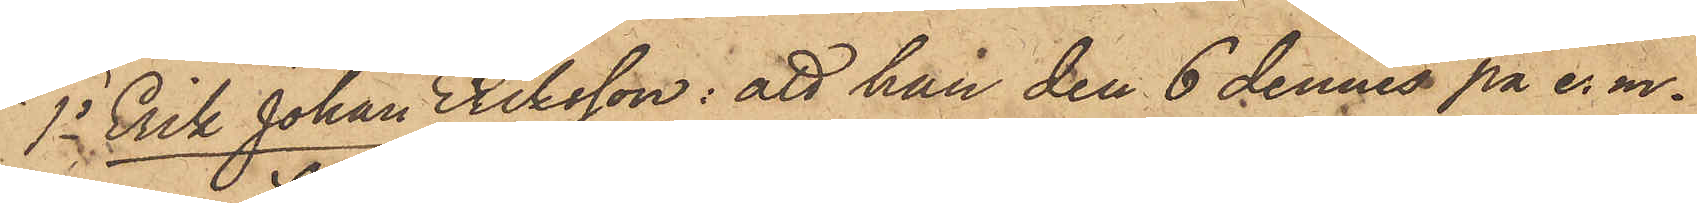1o Erik Johan Eriksson: att han den 6 dennes på e. m.
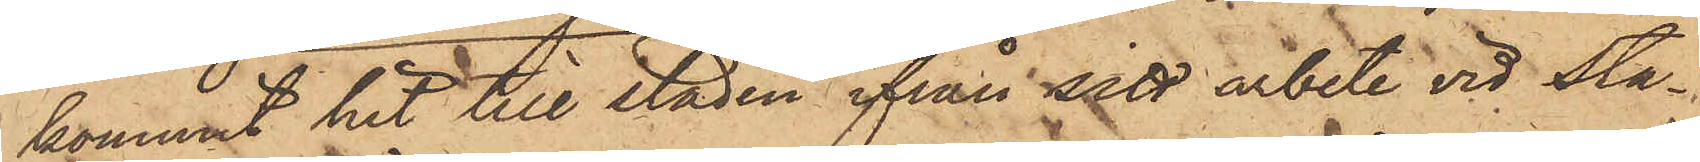kommit hit till staden ifrån sitt arbete vid Sta¬
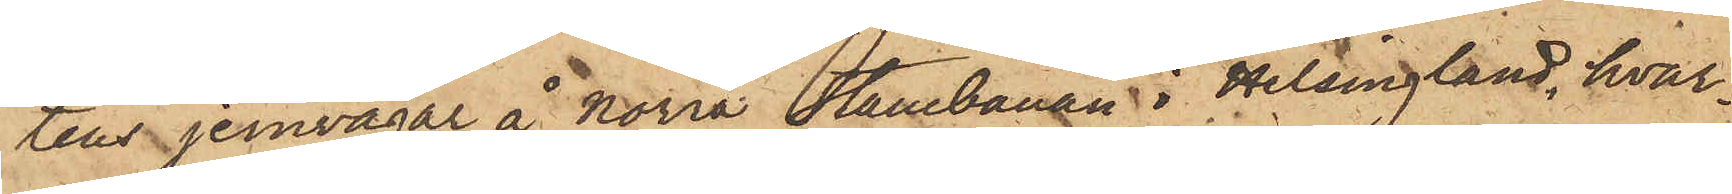tens jernvägar å Norra Stambanan i Helsingland, hvar¬
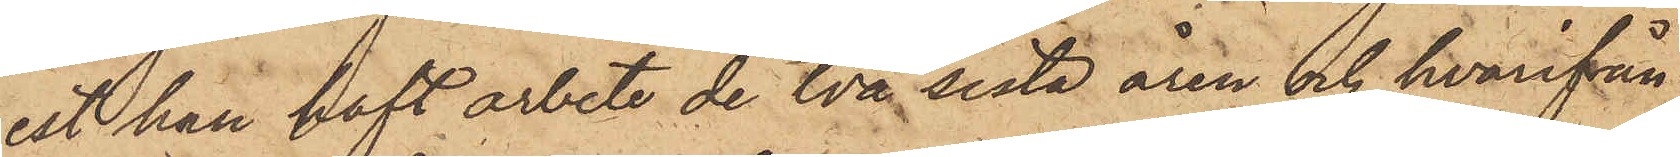est han haft arbete de två sista åren och hvarifrån
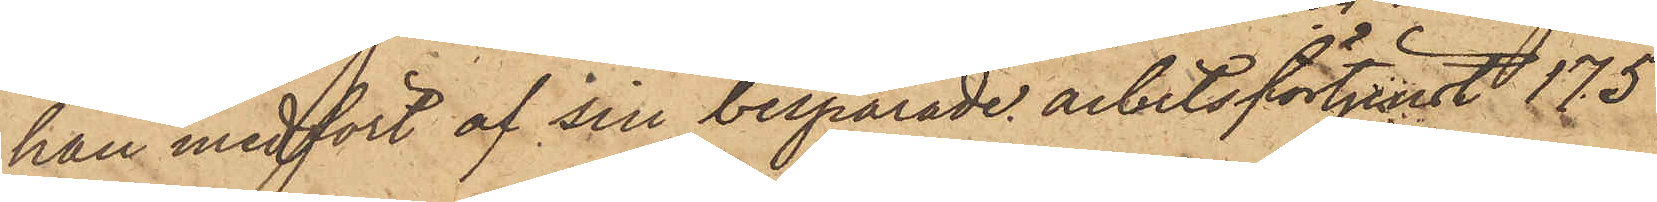han medfört af sin besparade arbetsförtjenst 175
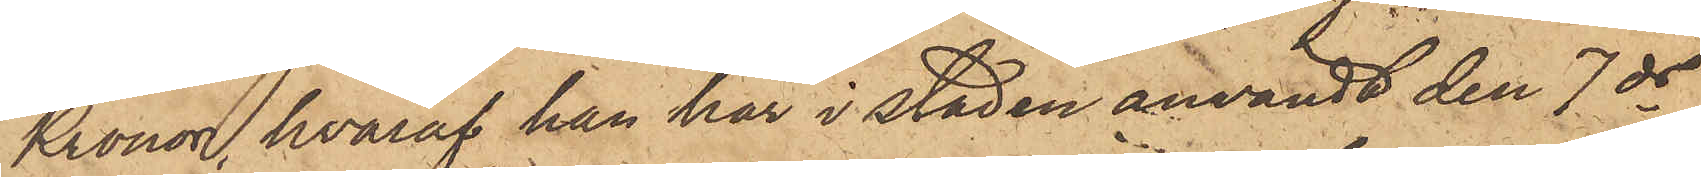Kronor, hvaraf han här i staden användt den 7 ds
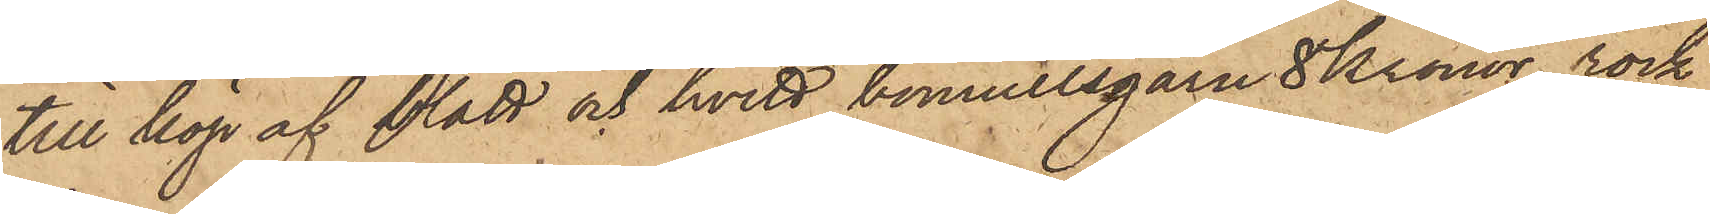till köp af blått och hvitt bomullsgarn 8 Kronor, rock
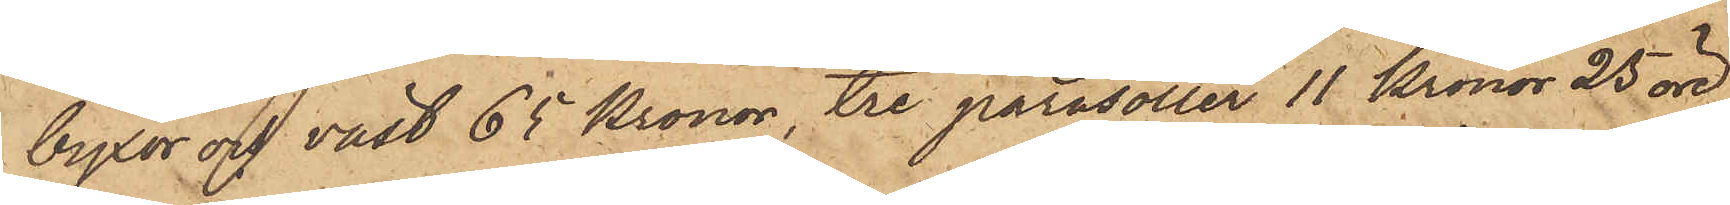byxor och väst 65 Kronor, tre parasoller 11 Kronor 25 öre
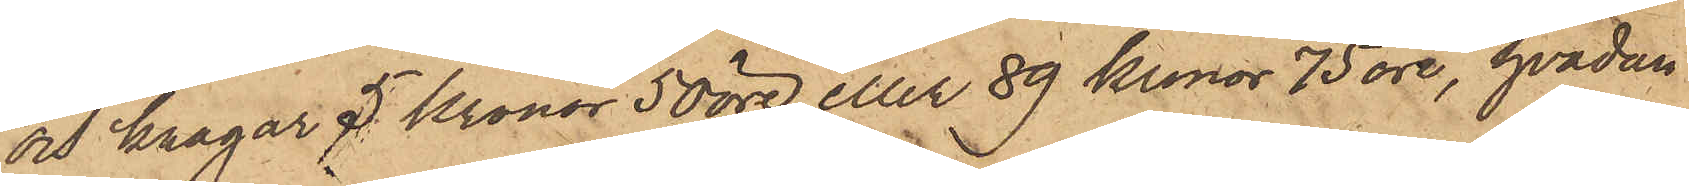och kragar 5 Kronor 50 öre eller 89 kronor 75 öre, hvadan
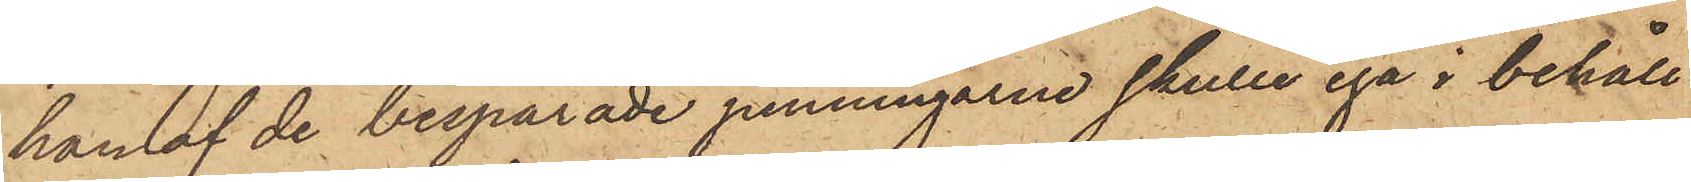han af de besparade penningarne skulle ega i behåll
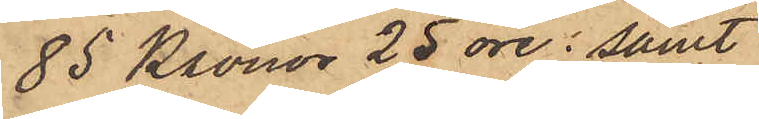85 Kronor 25 öre; samt
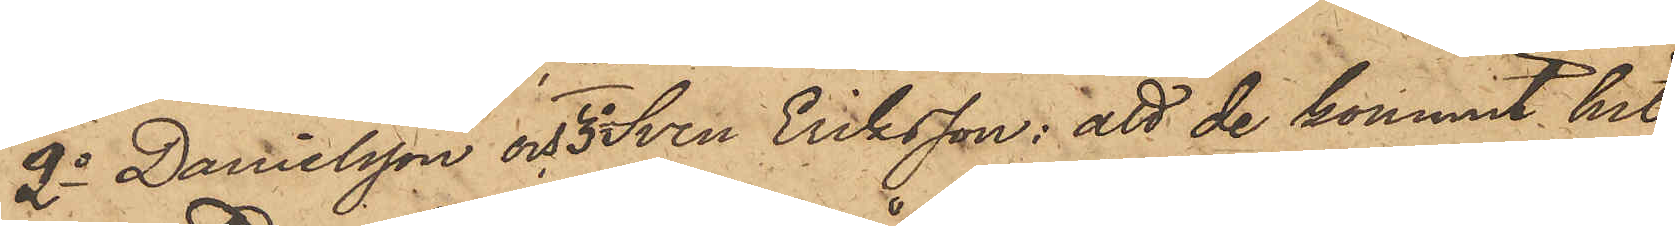2o Danielsson och 3o Sven Eriksson: att de kommit hit
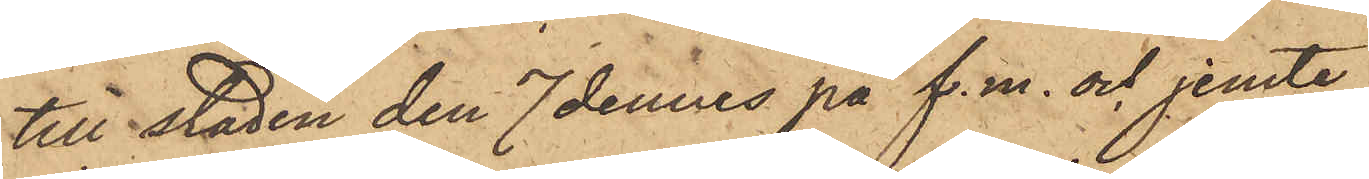till staden den 7 dennes på f. m. och jemte
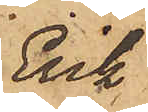Erik
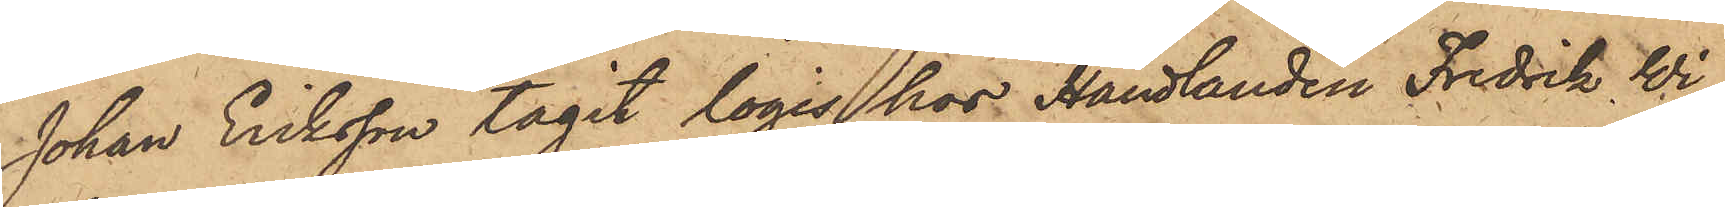Johan Eriksson tagit logis hos Handlanden Fredrik Wi¬
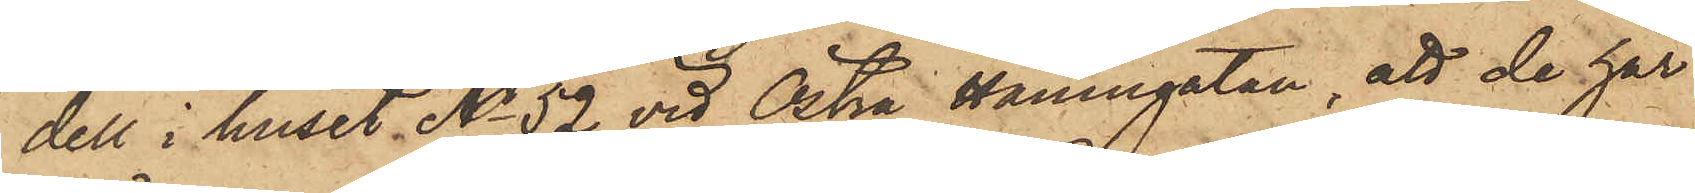dell i huset No 52 vid Östra Hamngatan, att de här
